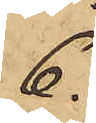6.
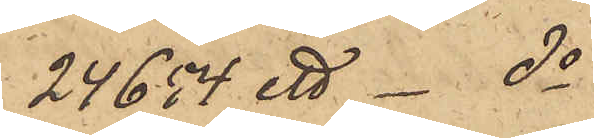24654 ett do
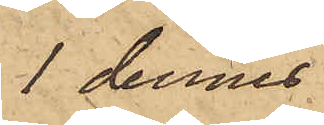1 dennes
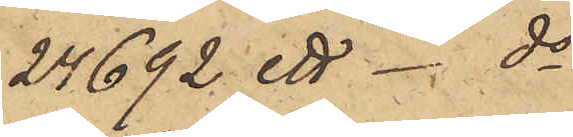24692: ett do
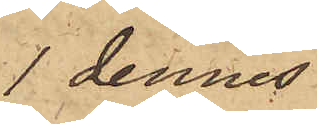1 dennes
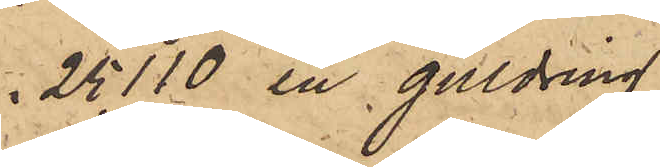25110 en guldring
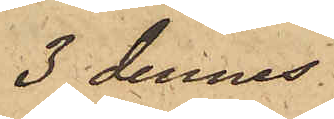3 dennes
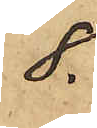8.
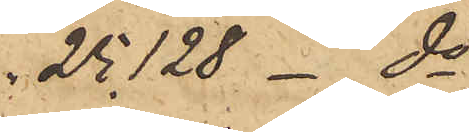25128 do
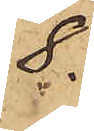8.
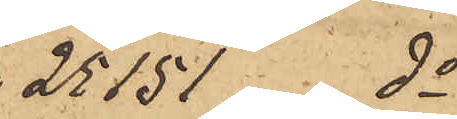25151 do
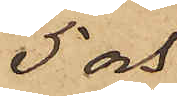5 och
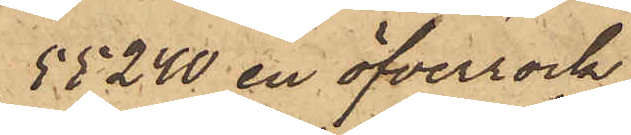55240 en öfverrock
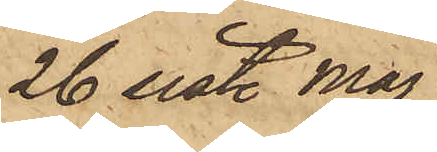26 sist. Maj
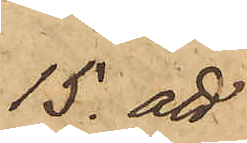15. att
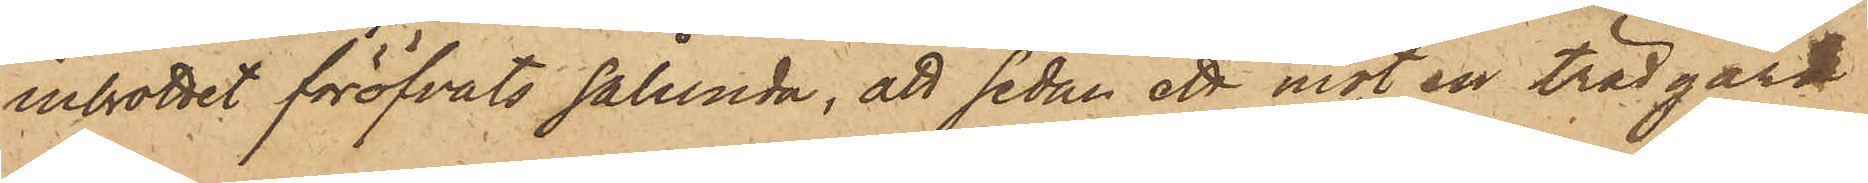inbrottet föröfvats sålunda, att sedan ett mot en trädgård
